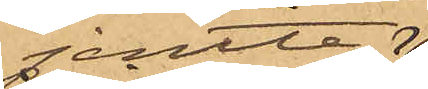jemte 
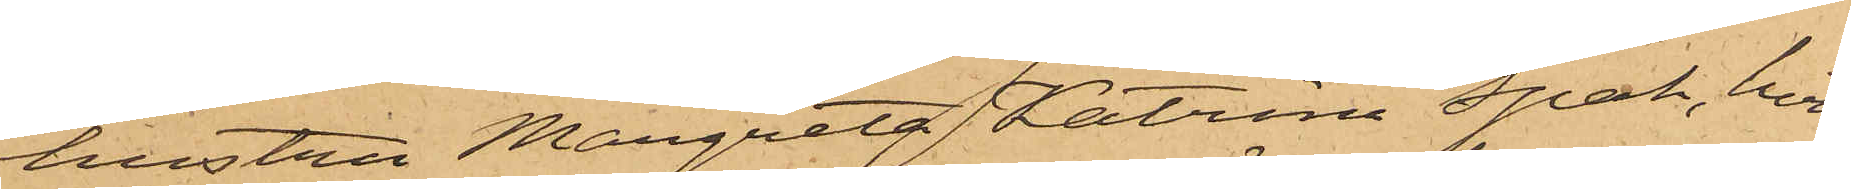hustru Margreta Katrina Spak, hvil¬
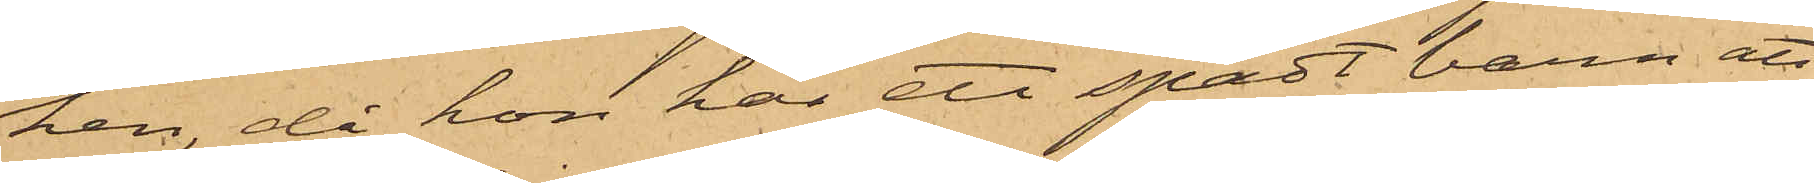ken, då hon har ett spätt barn att
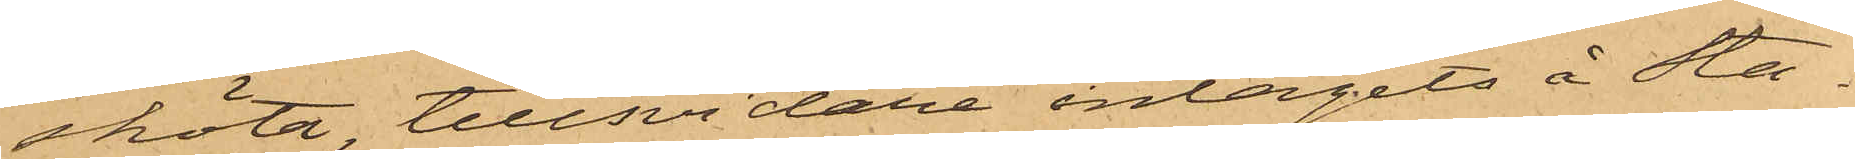sköta, tillsvidare intagits å Sta¬
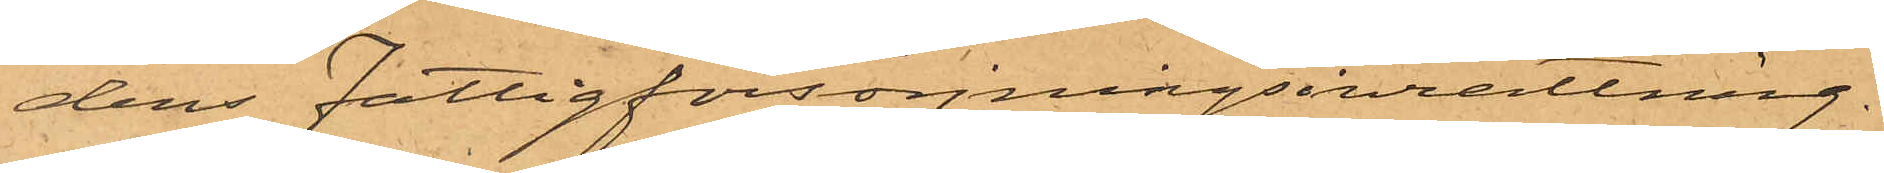dens Fattigförsörjningsinrättning.
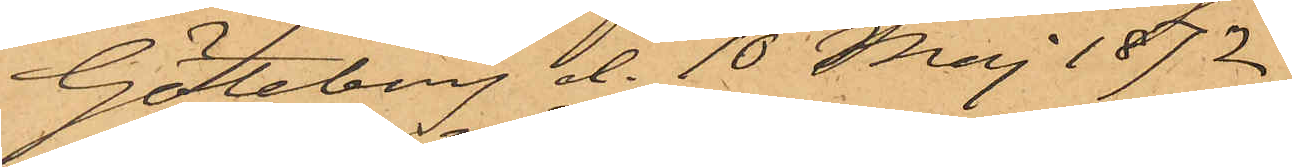Göteborg d. 10 Maj 1872.
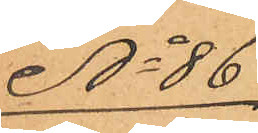No 86
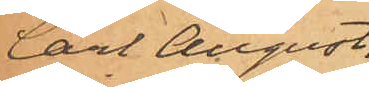Carl August.
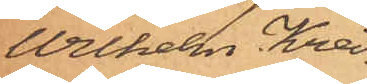Wilhelm Krei¬
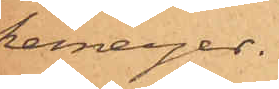kemeyer.
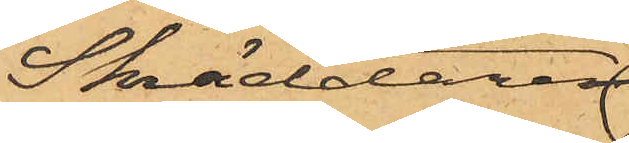Skräddare¬
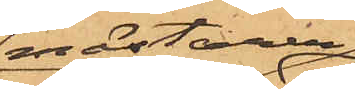mästaren
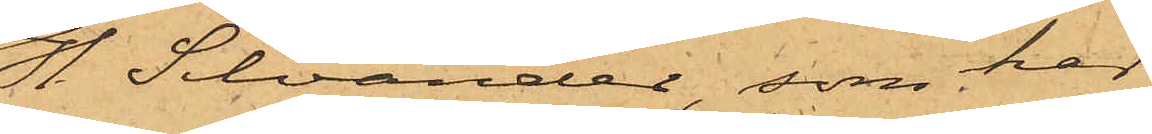H. Silvander, som har
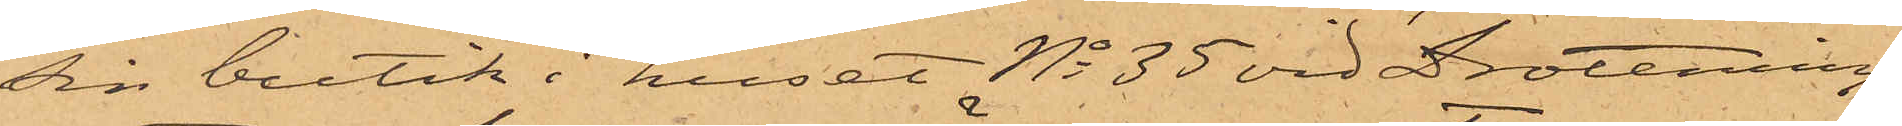sin butik i huset No 35 vid Drottning¬
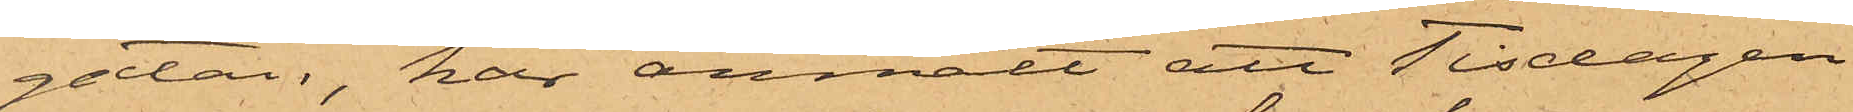gatan, har anmält att Tisdagen
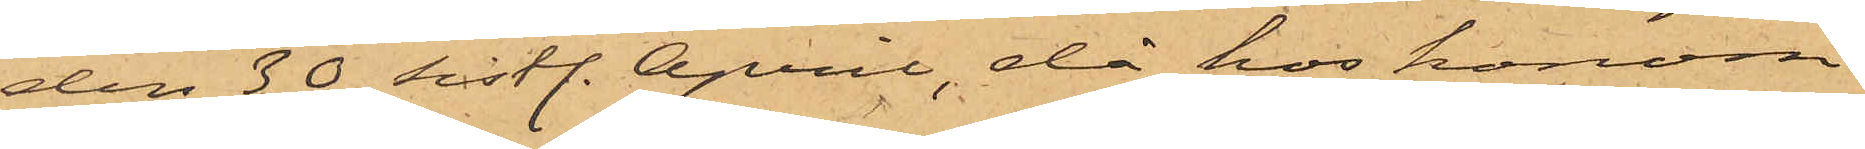den 30 sistl. April, då hos honom
